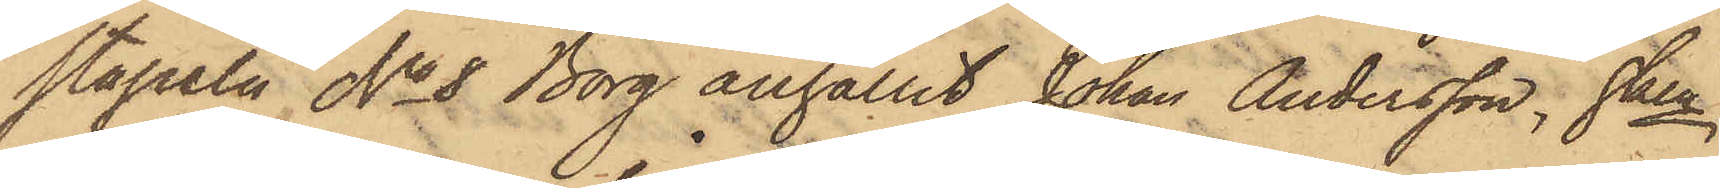stapeln No 8 Borg anhållit Johan Andersson, hken
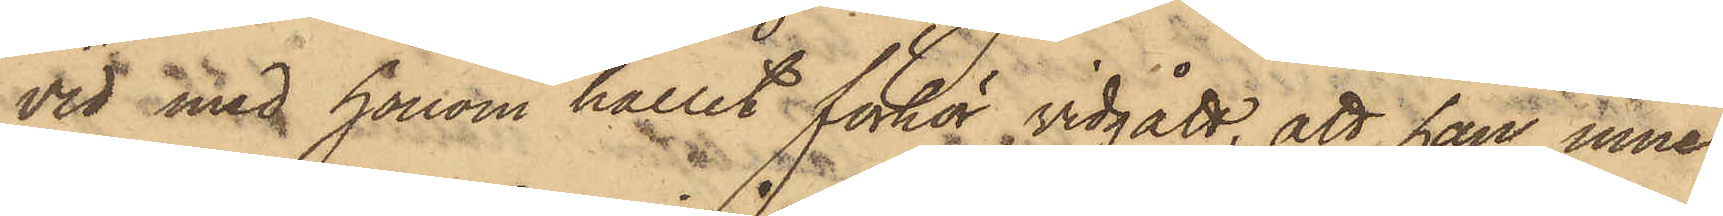vid med honom hållet förhör vidgått, att han inne
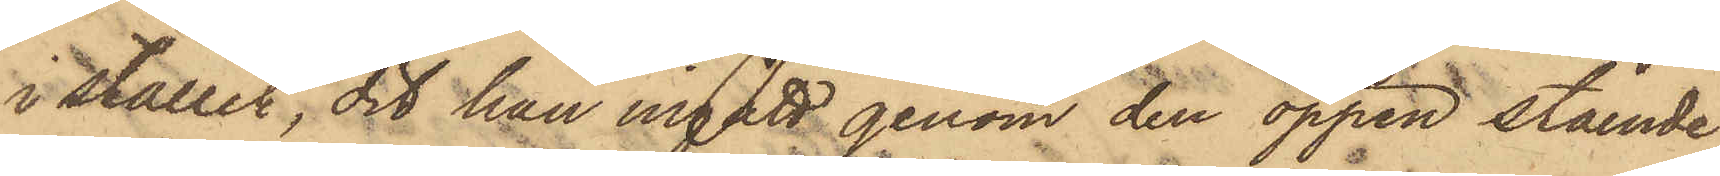i stallet, dit han ingått genom den öppen stående
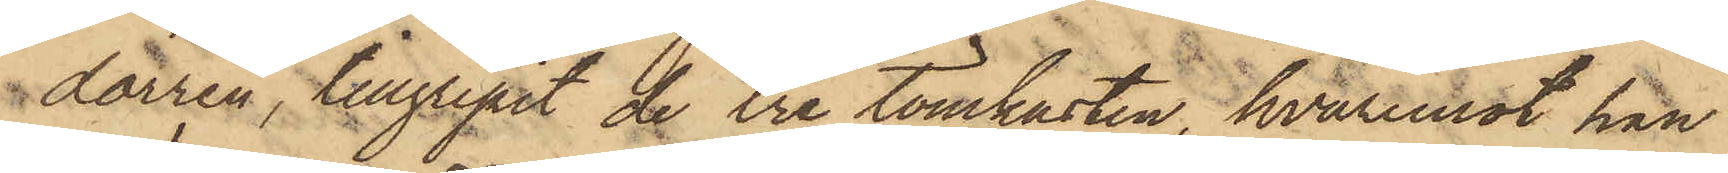dörren, tillgripit de tre tömkasten, hvaremot han
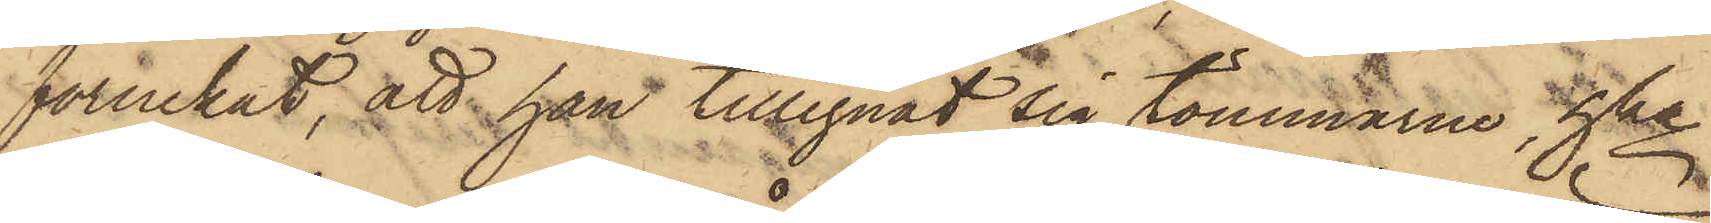förnekat, att han tillegnat sig tömmarne, hka
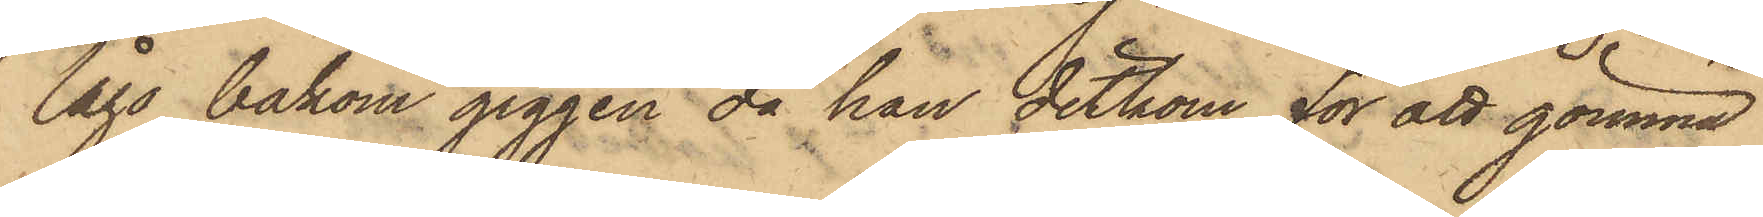lågo bakom giggen då han ditkom för att gömma
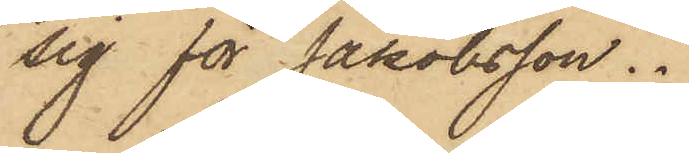sig för Jakobsson.
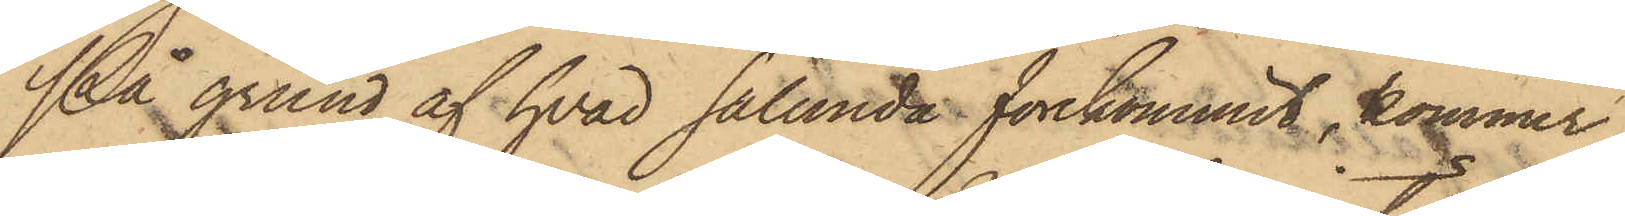På grund af hvad sålunda förekommit, kommer
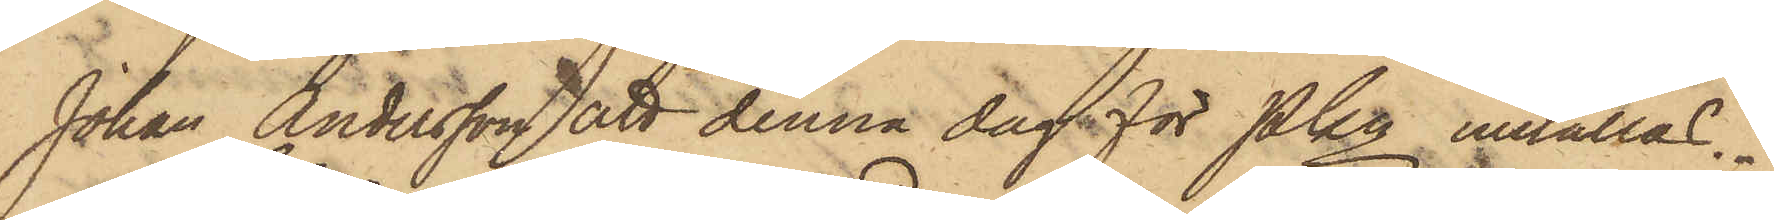Johan Andersson att denna dag för Pkn inställas.
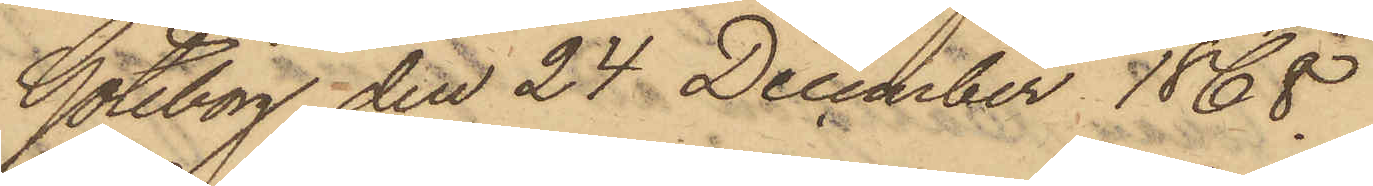Göteborg den 24 December 1868.
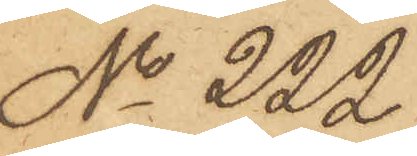No 222.
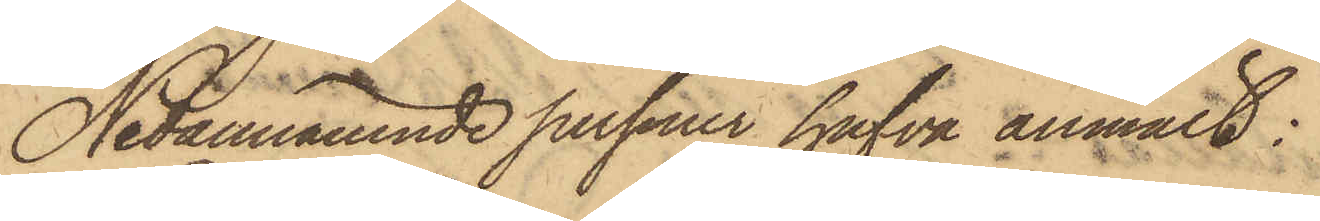Nedannämnde personer hafva anmält:
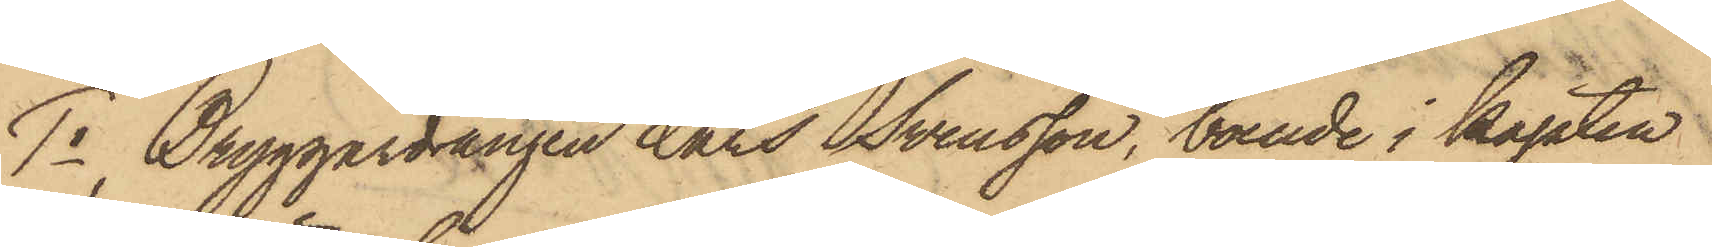1o Bryggardrängen Lars Svensson, boende i Kapten
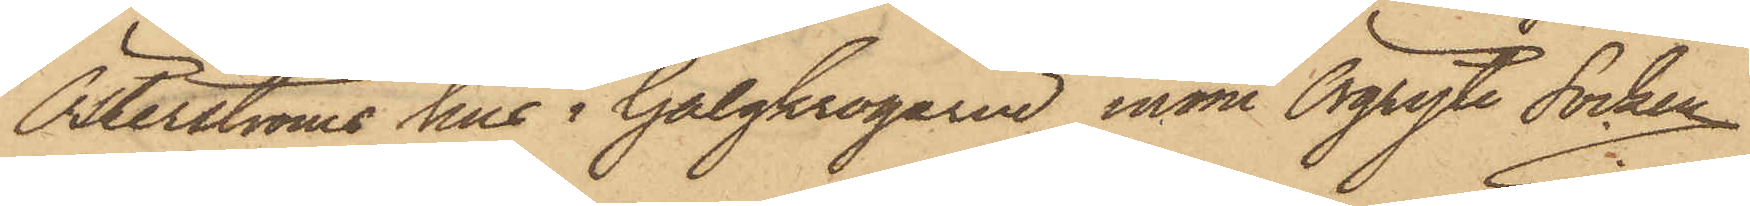Österströms hus i Galgkrogarne inom Örgryte Socken
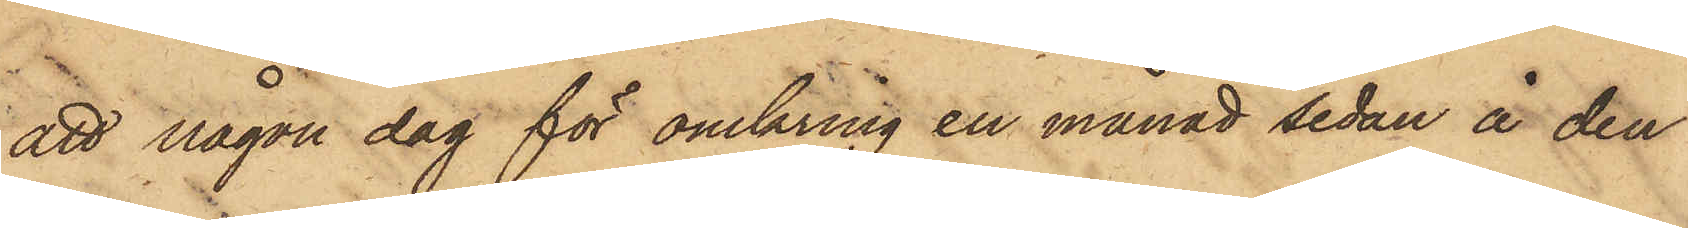att någon dag för omkring en månad sedan å den
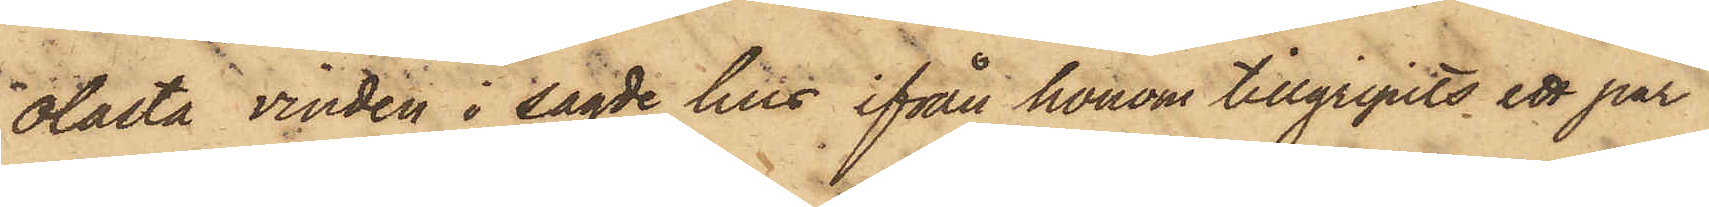olasta vinden i sagde hus ifrån honom tillgripits ett par
